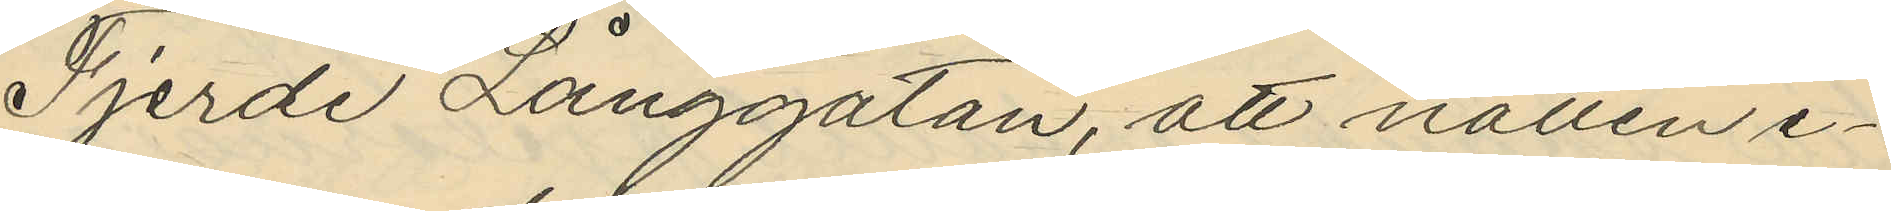Fjerde Långgatan, att natten e¬
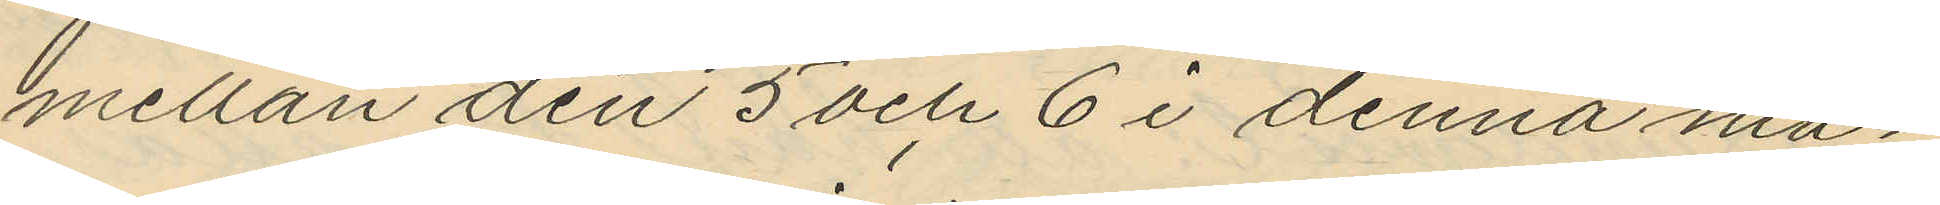mellan den 5 och 6 i denna må¬
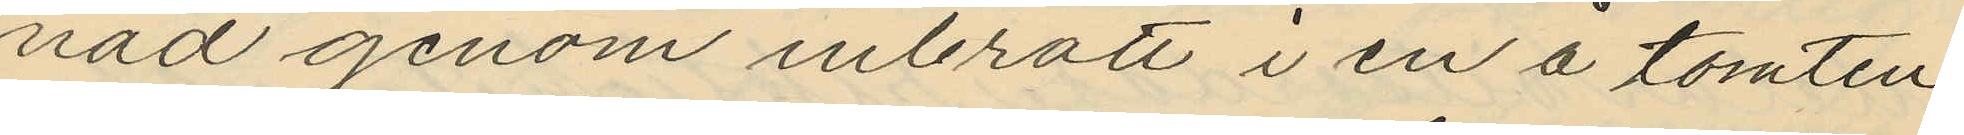nad genom inbrott i en å tomten
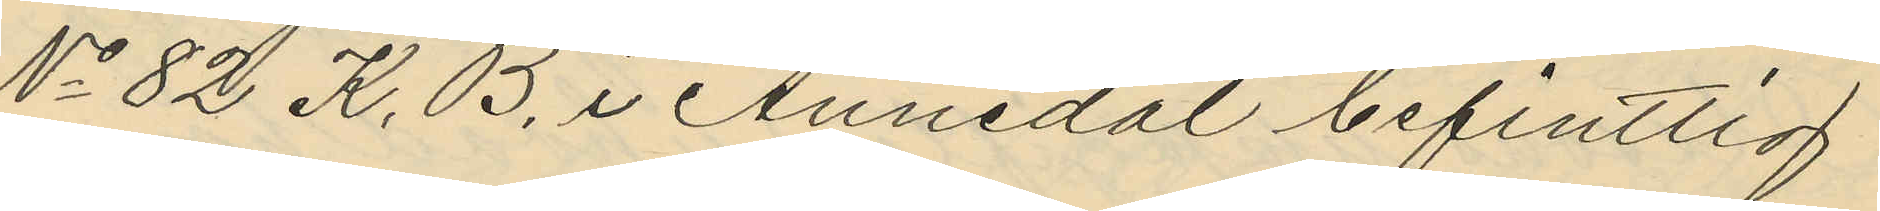No 82 K. B. i Annedal befintlig
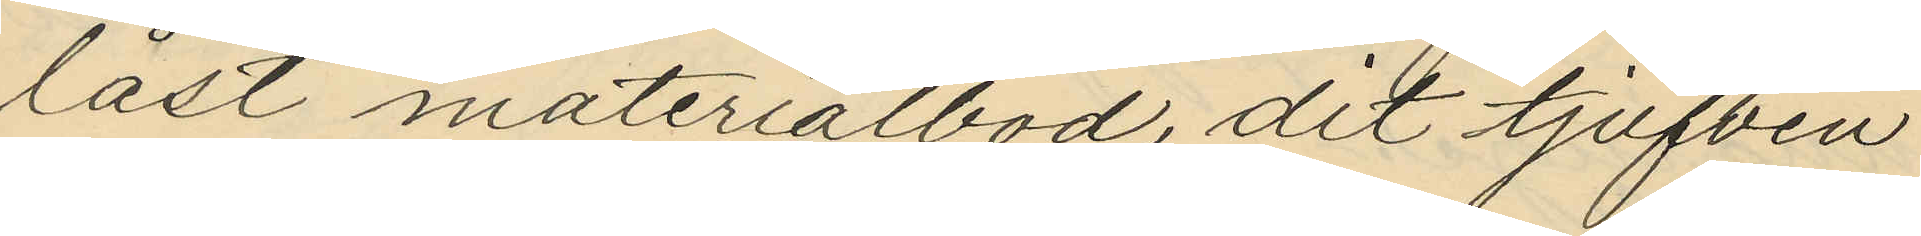låst materialbod, dit tjufven
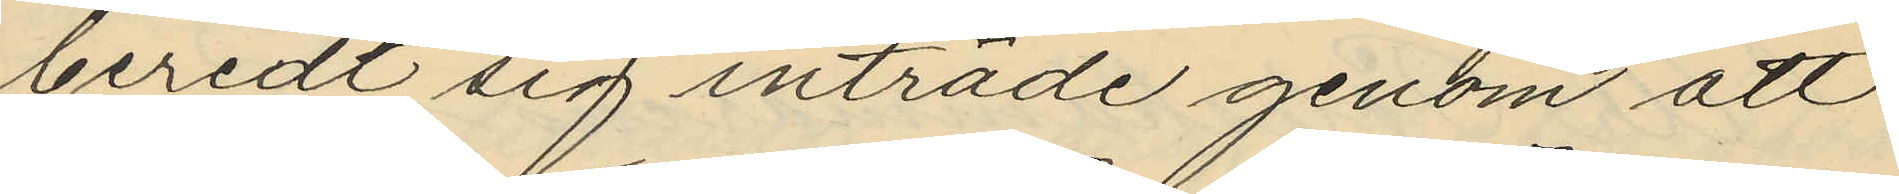beredt sig inträde genom att
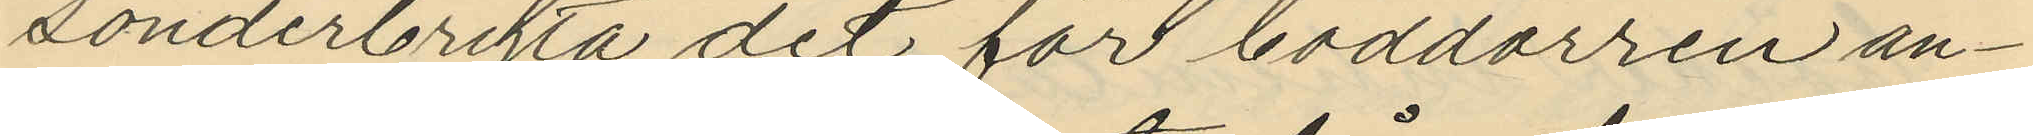sönderbryta det för boddörren an¬
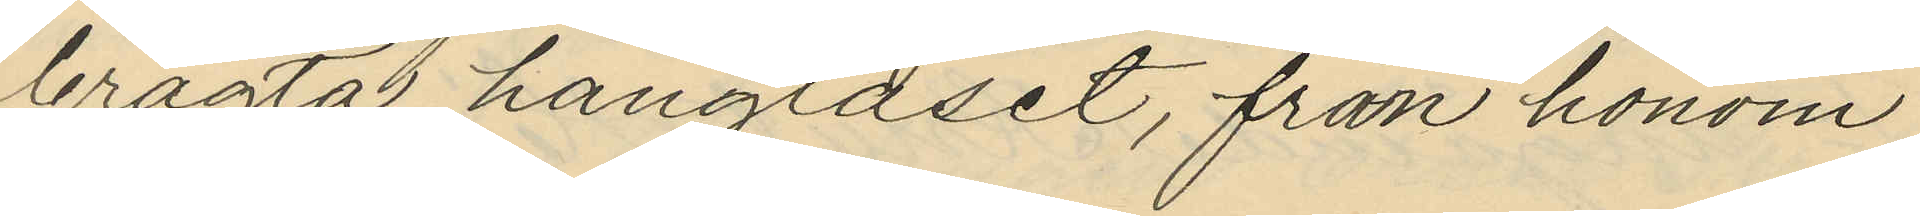bragta hänglåset, från honom
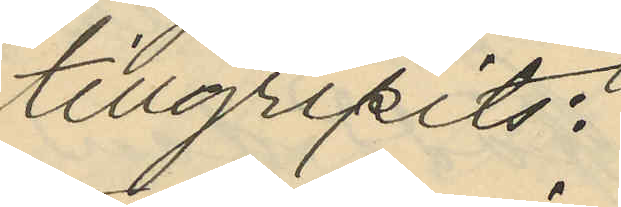tillgripits:
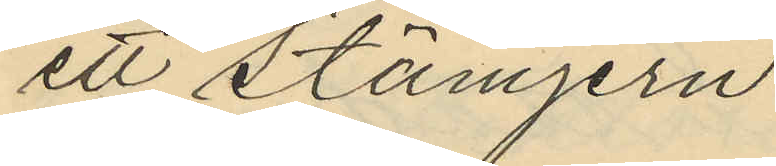ett stämjern
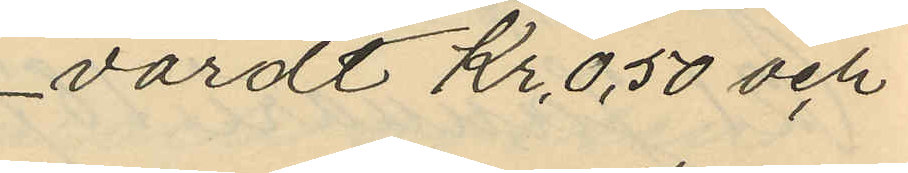värdt Kr. 0,50 och
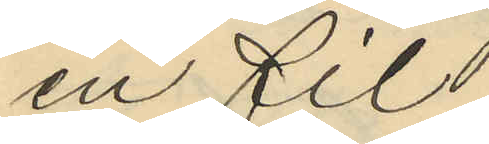en fil
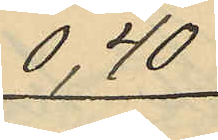0,40.
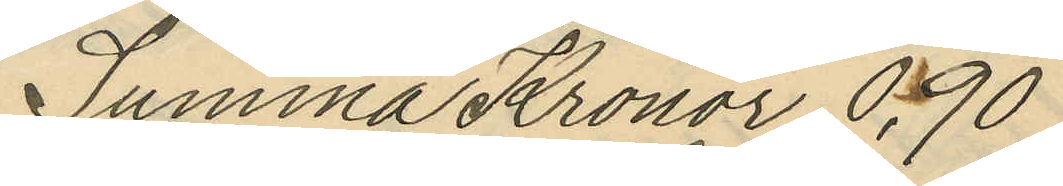Summa Kronor 0,90
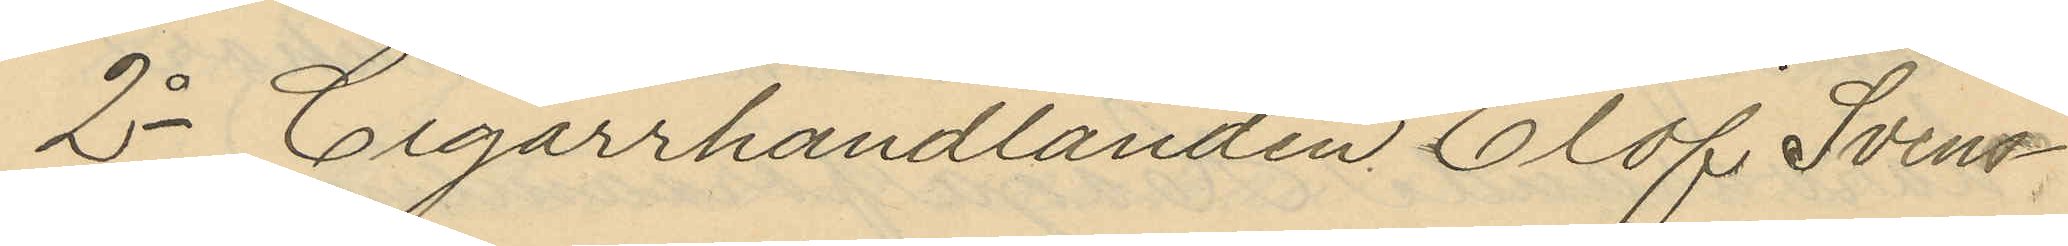2o Cigarrhandlanden Olof Svens¬
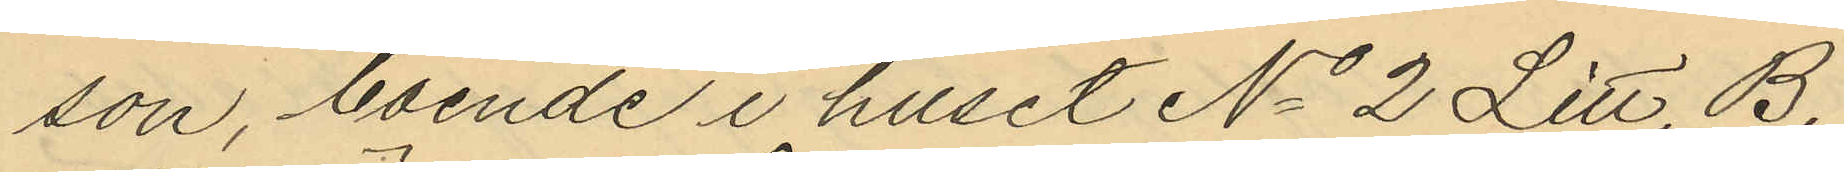son, boende i huset No 2 Litt. B.
